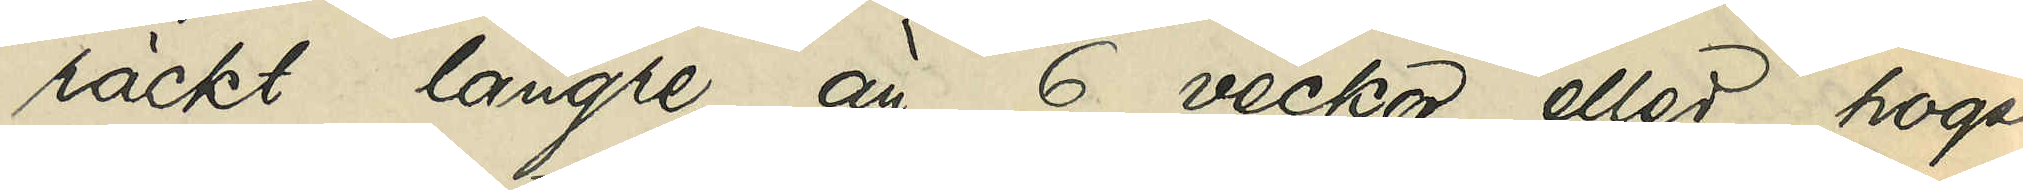räckt längre än 6 veckor eller högst
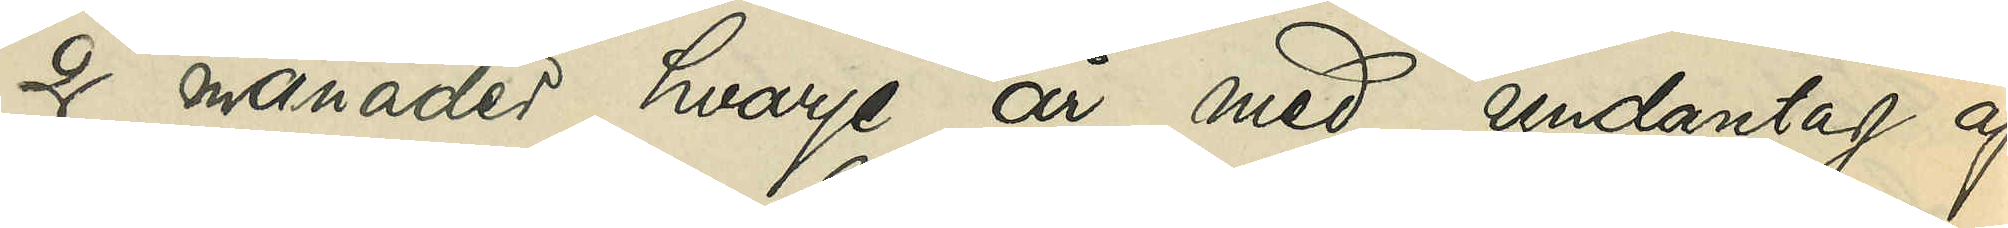2 månader hvarje år med undantag af
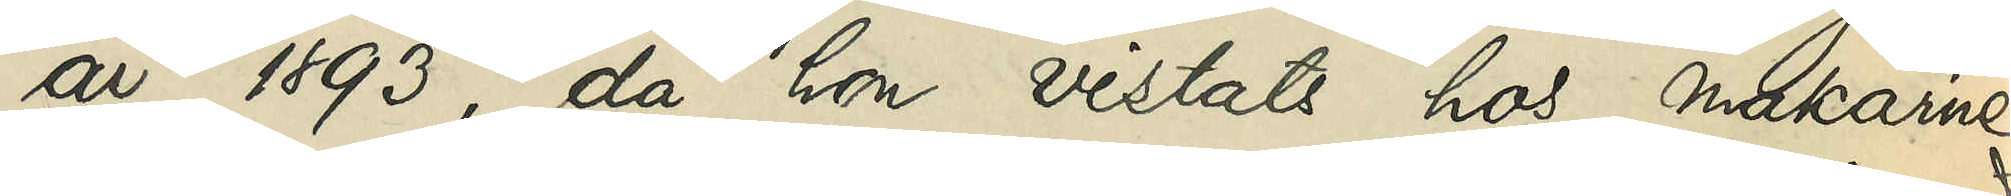år 1893, då hon vistats hos makarne
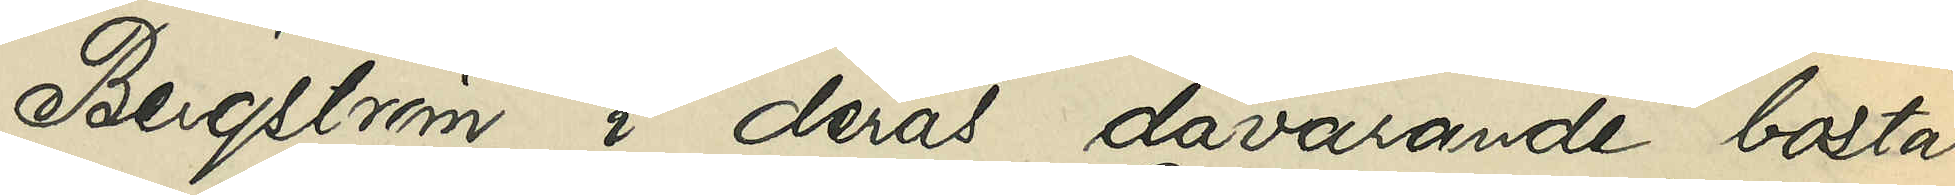Bergström i deras dåvarande bostad
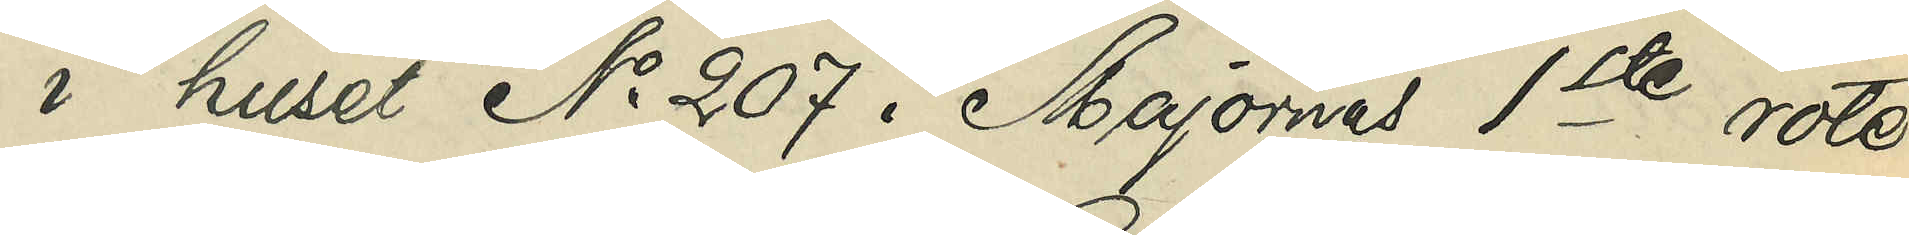i huset No 207 i Majornas 1ste rote
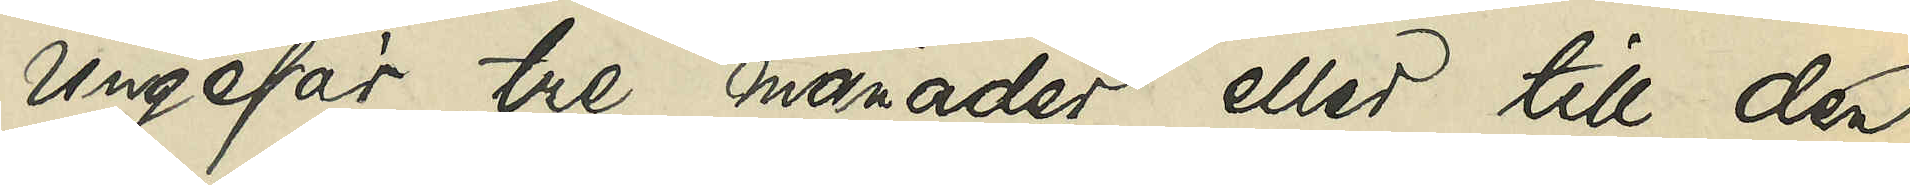ungefär tre månaders eller till den
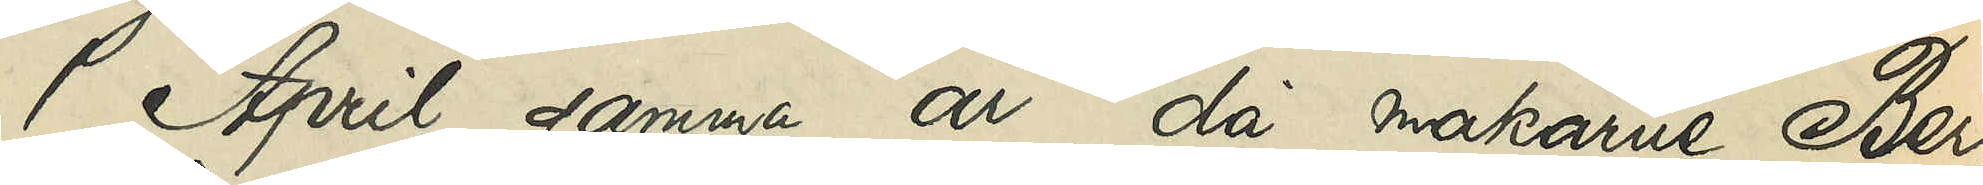1 April samma år, då makarne Berg¬
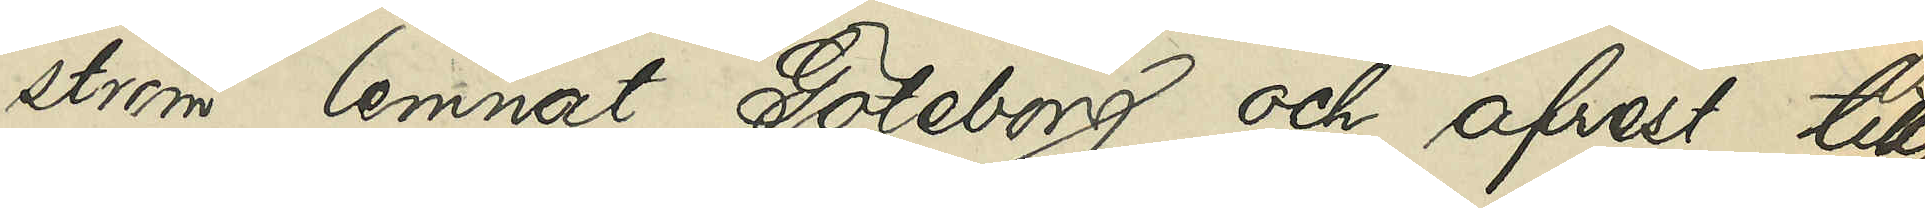ström lemnat Göteborg och afrest till
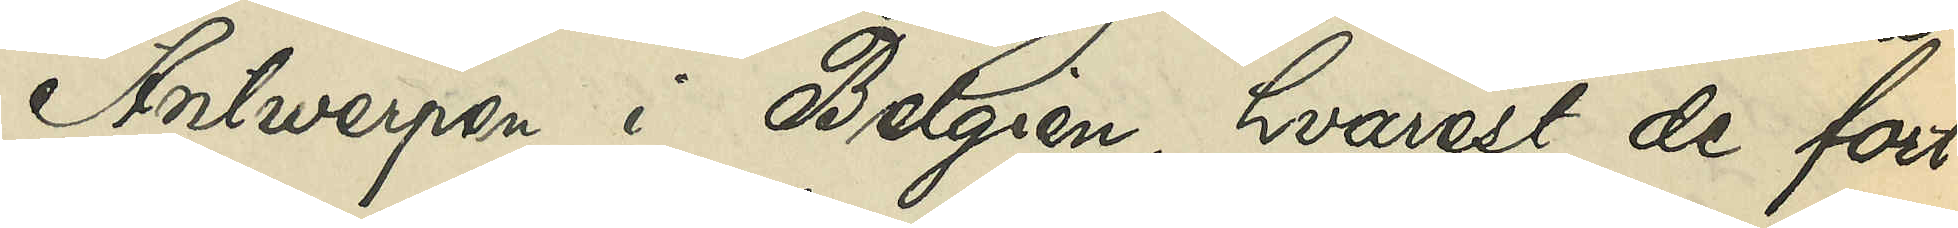Antwerpen i Belgien, hvarest de fort¬
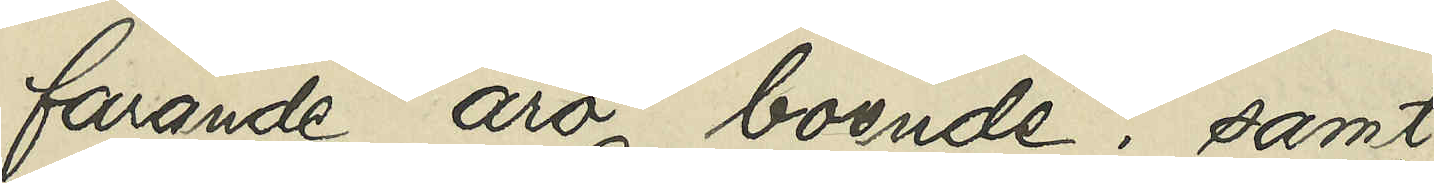farande äro boende, samt
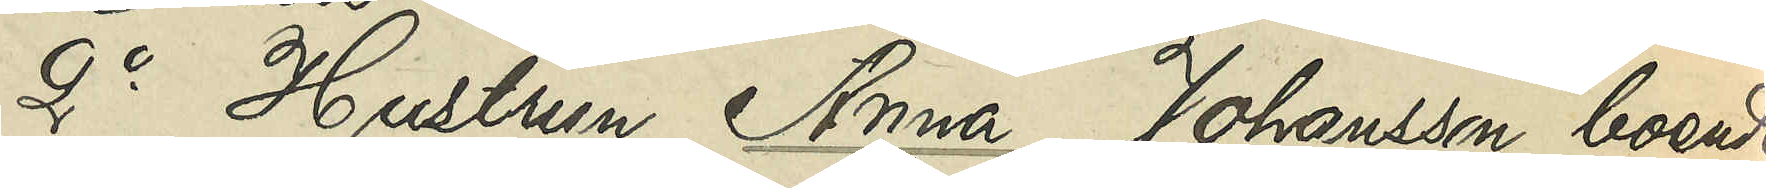2o Hustrun Anna Johansson, boende
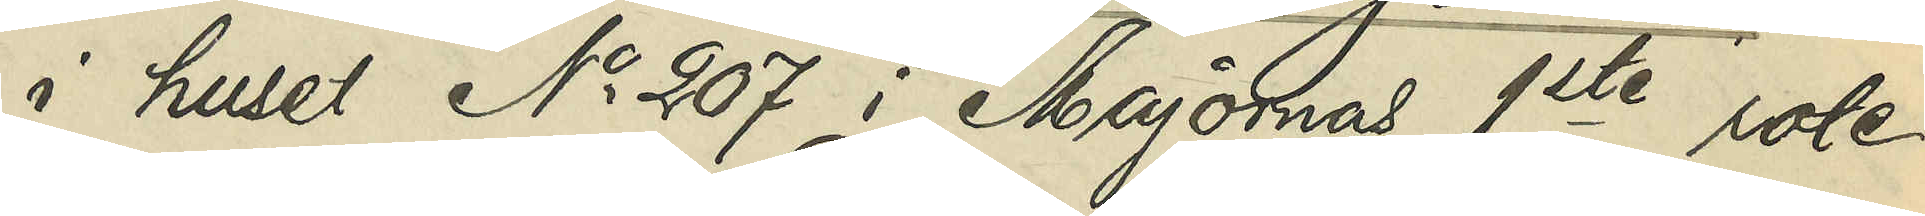i huset No 207 i Majornas 1ste rote
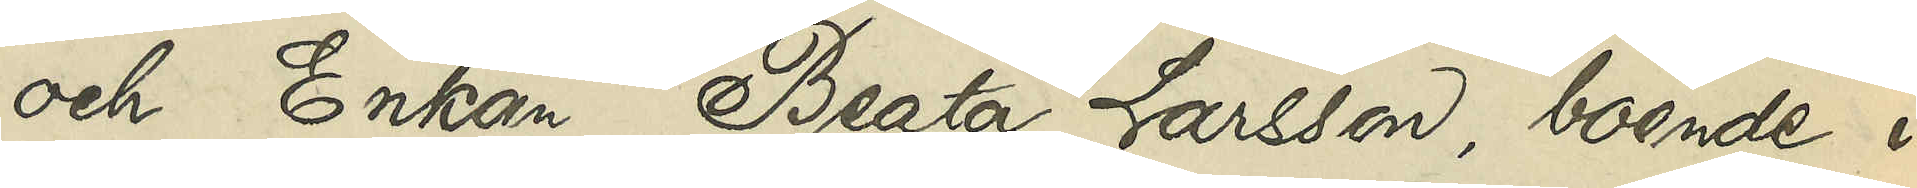och Enkan Beata Larsson, boende i
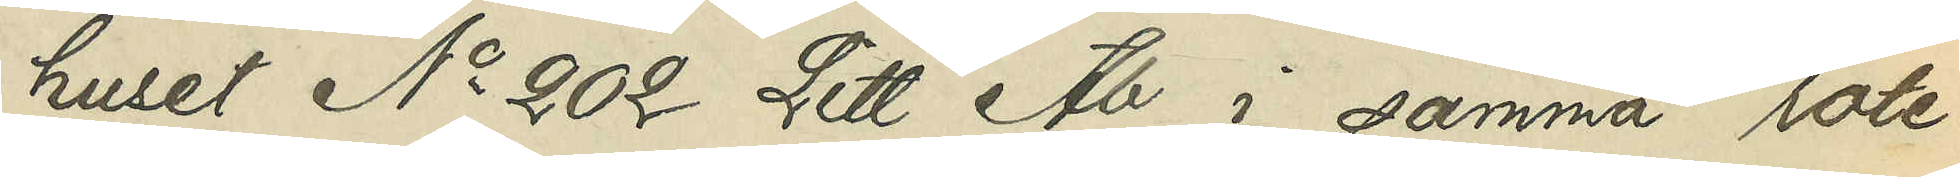huset No 202 Litt Ab i samma rote:
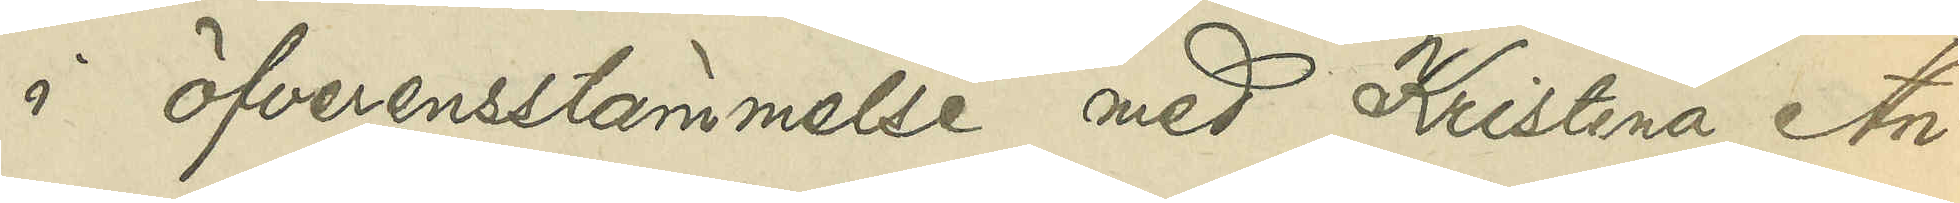i öfverensstämmelse med Kristina An¬
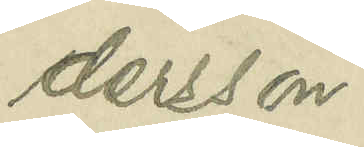dersson.
